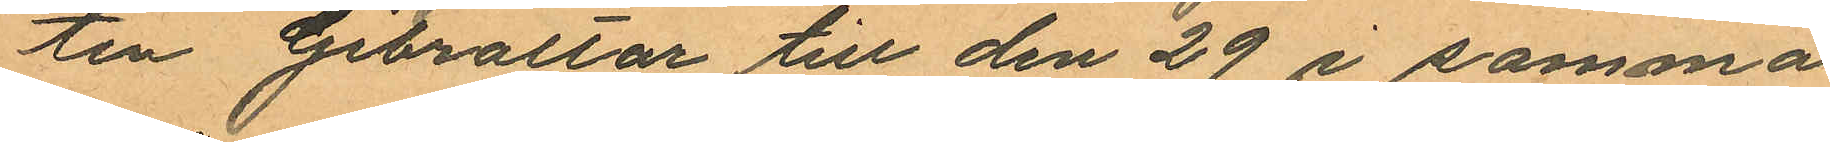ten Gibraltar till den 29 i samma
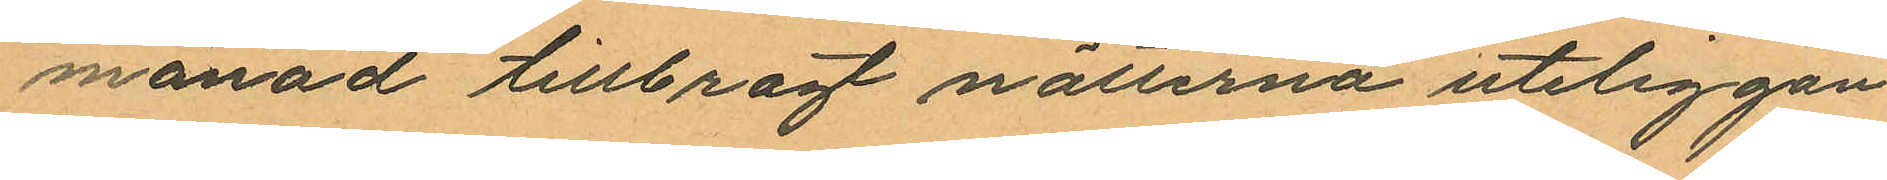månad tillbragt nätterna uteliggan¬
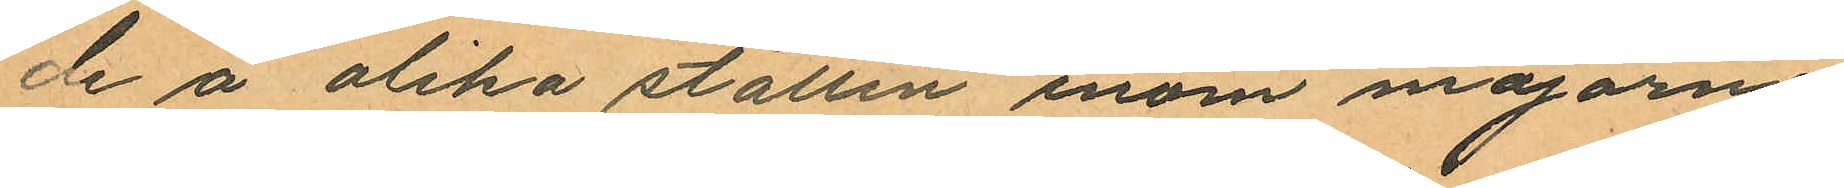de å olika ställen inom majorna
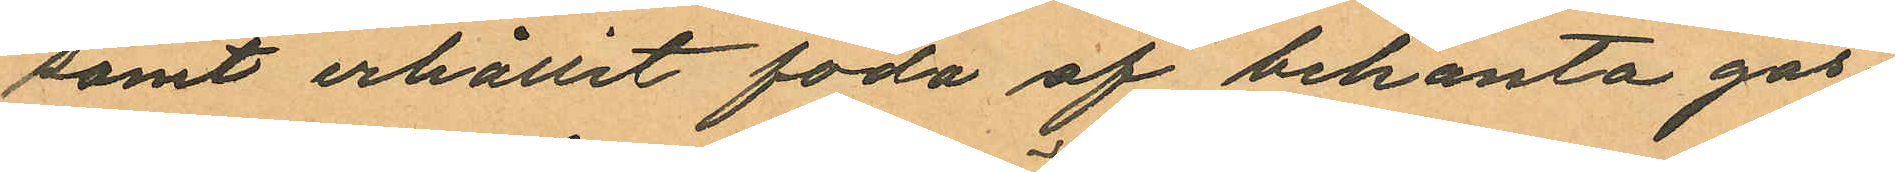samt erhållit föda af bekanta gos¬
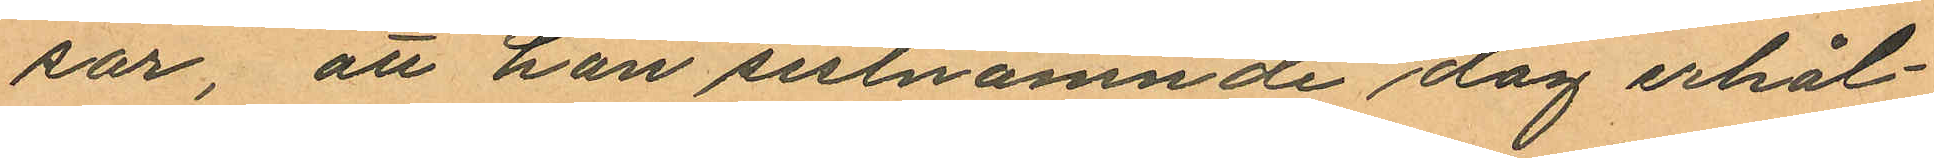sar, att han sistnämnde dag erhål¬
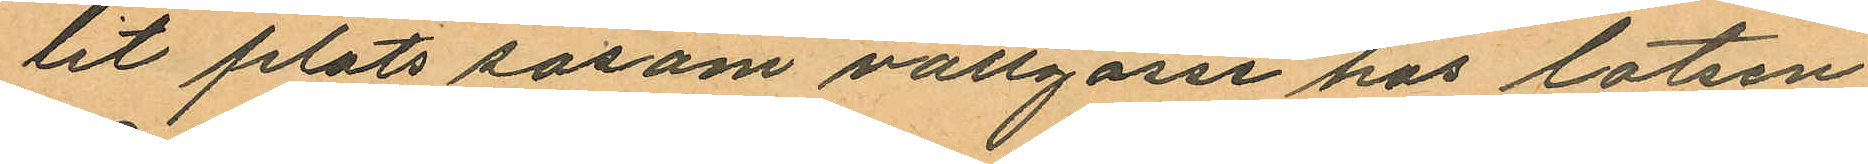lit pelats såsom vallgosse hos lotsen
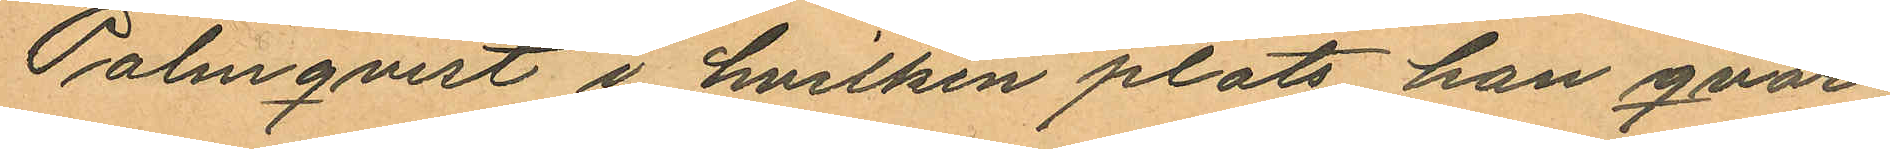Palmqvist i hvilken plats han qvar¬
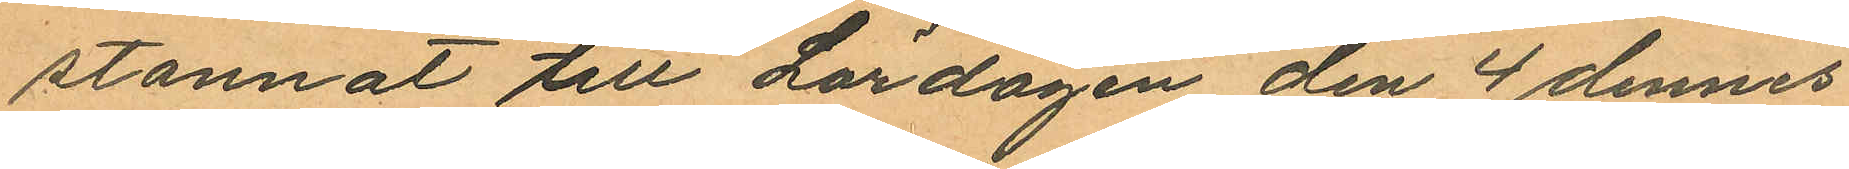stannat till Lördagen den 4 dennes
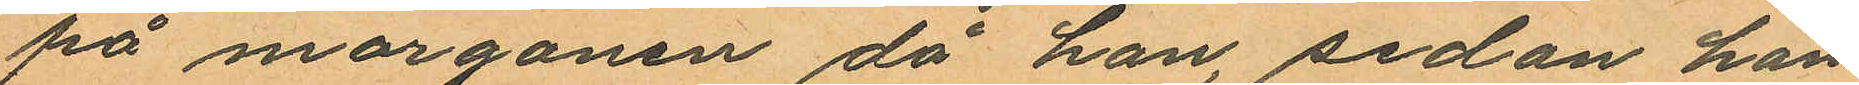på morgonen då han, sedan han
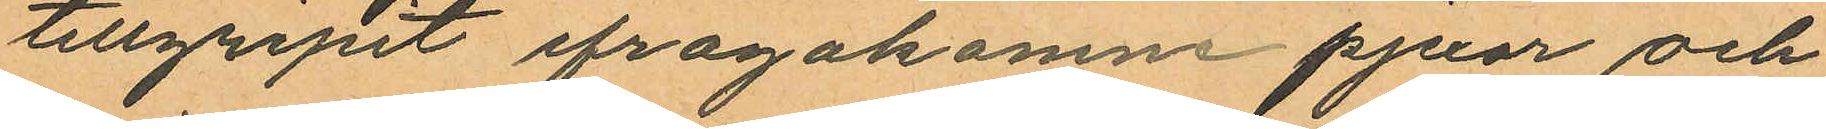tillgripit ifrågakomne pjexor och
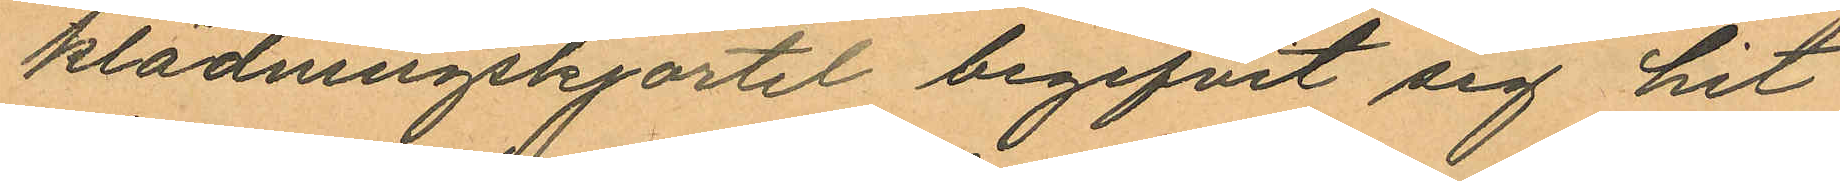klädningskjortel begifvit sig hit
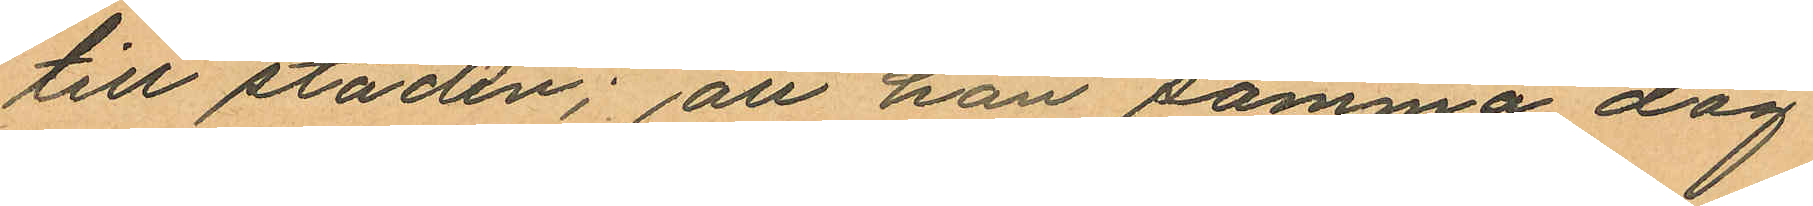till staden; att han samma dag
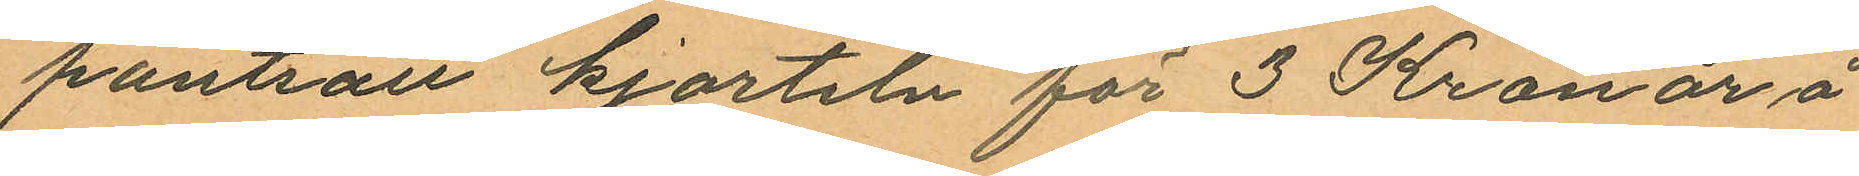pantsatt kjorteln för 3 Kronor å
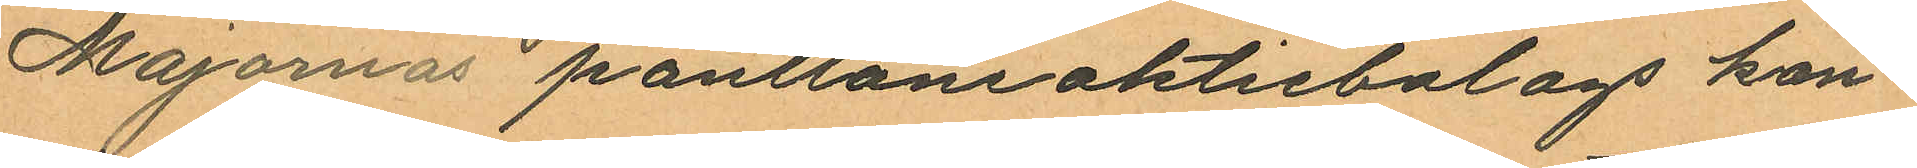Majornas pantlåneaktiebolags kon¬
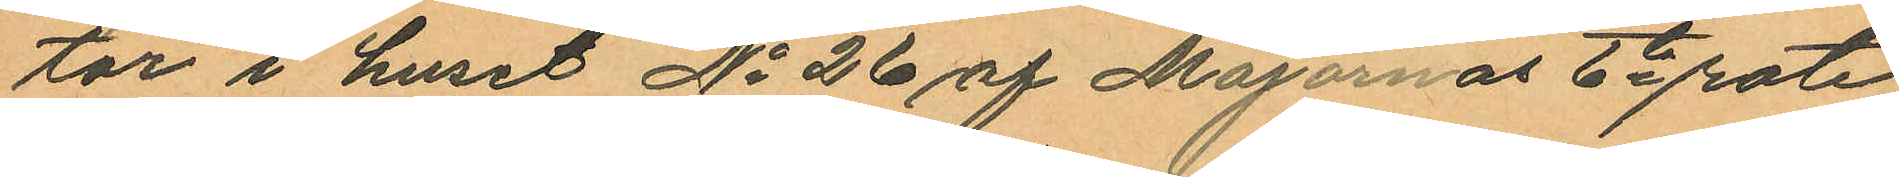tor i huset No 26 af Majornas 6te rote
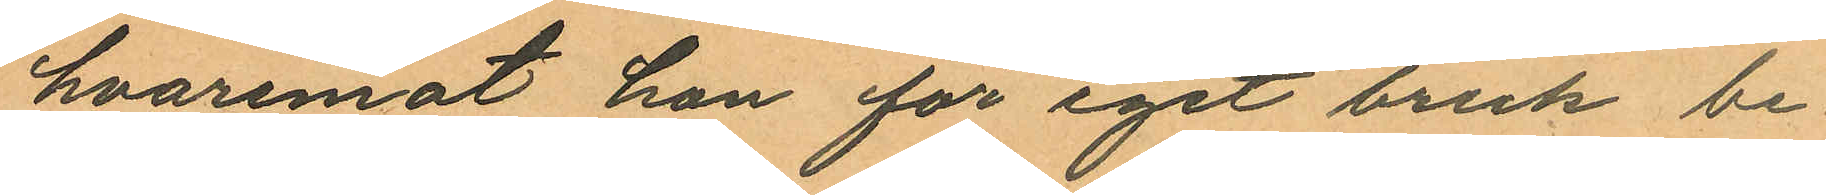hvaremot han för eget bruk be¬
